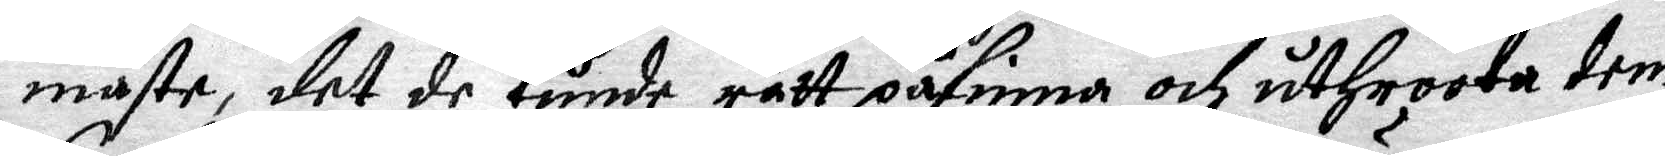måste, det de Kunde rätt påfinna och utHroota dem
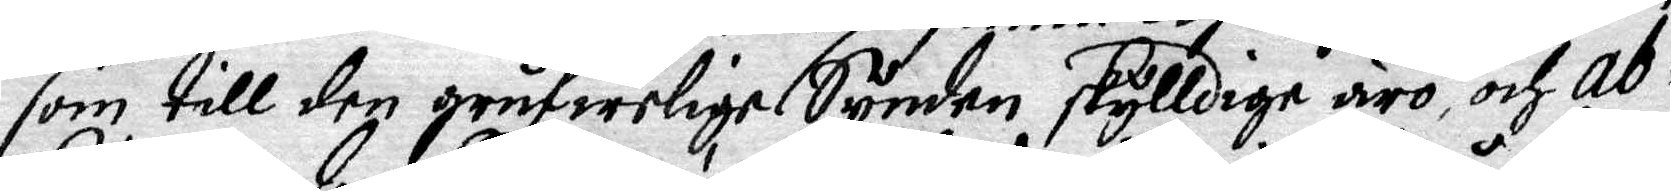som till den grufwelige Synden skylldige äro ocj Ab¬
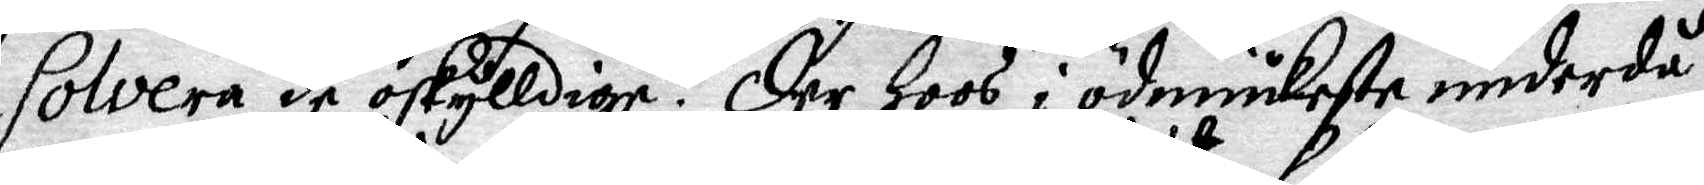solvera de oskylldige. Der Hoos i ödmiukeste underdå¬
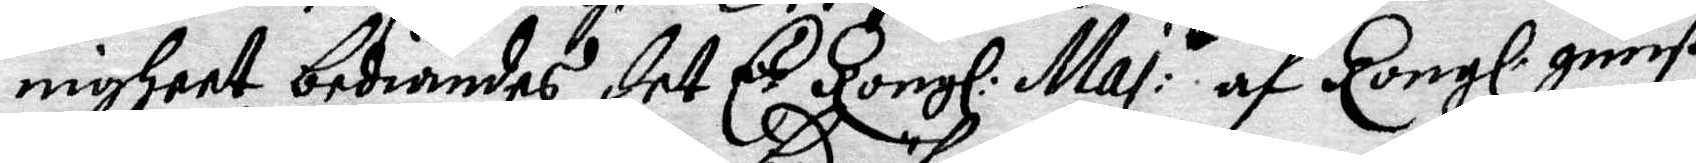nigheet bediandes det E. Kongl: Maj: t af Kongl. gunst
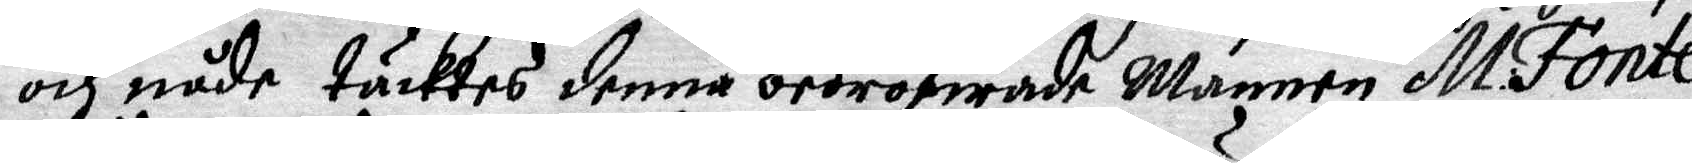och nåde täcktes denna bedröfwade Mannen M: Font¬
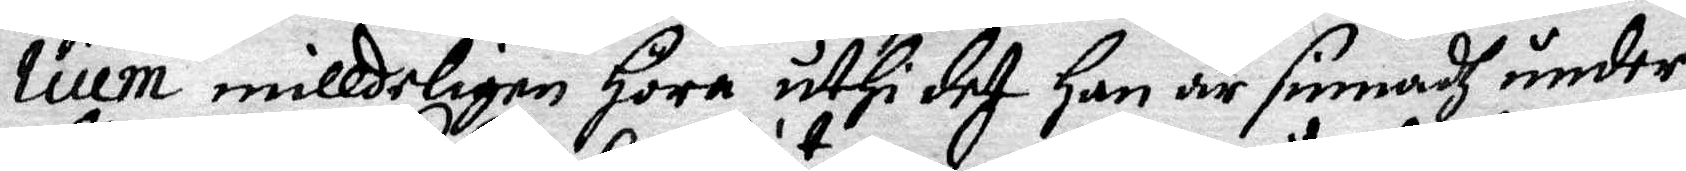lium milldeligen Höra uthi det Han är sinnadh under¬
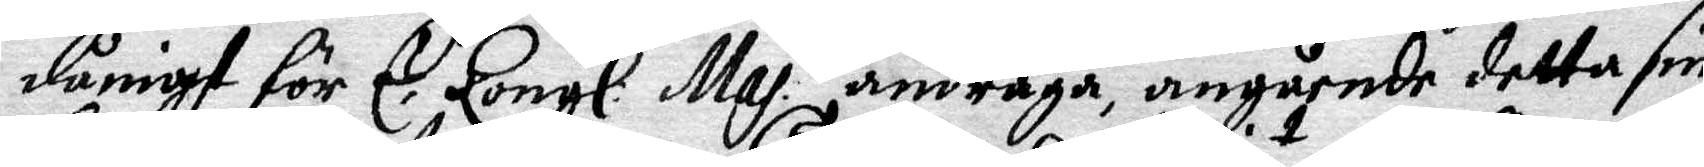dånigst för E. Kongl: Maj. t andraga, angående detta sin
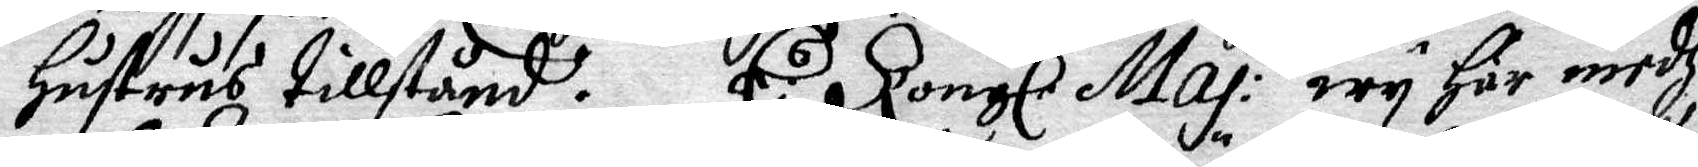Hustrus tillstånd. E: s Kongl: Maj: t wy Här medh
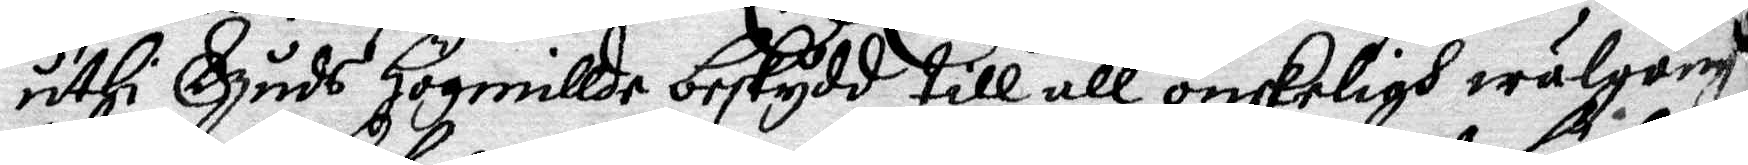uthi Gudh Högmillde beskydd till all önskeligh wälgång
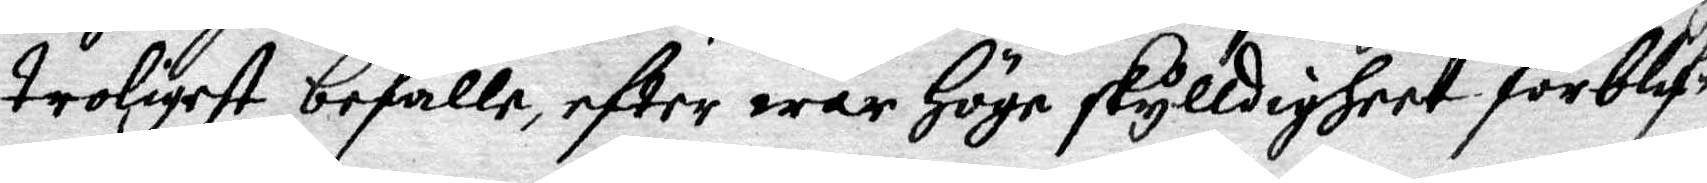troligest befalla, efter wår Höge skylldigheet förblif¬
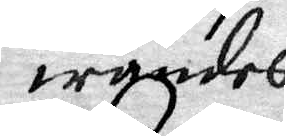wandes.
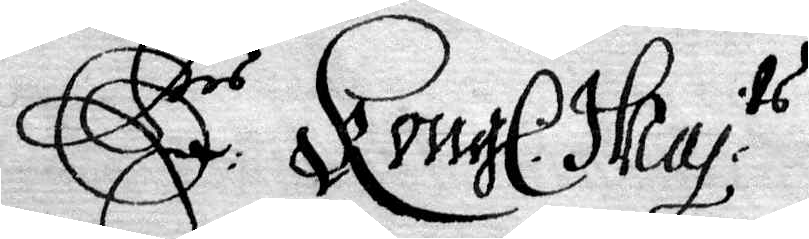E rs Kongl. Maj. ts
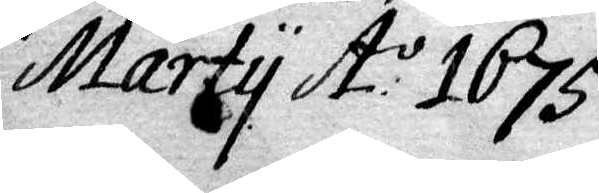Af Upsala den 12
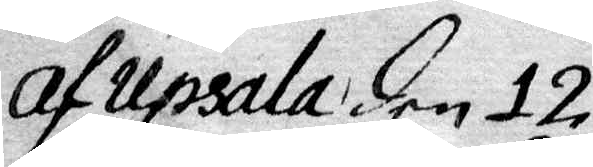Marty A:o 1675.
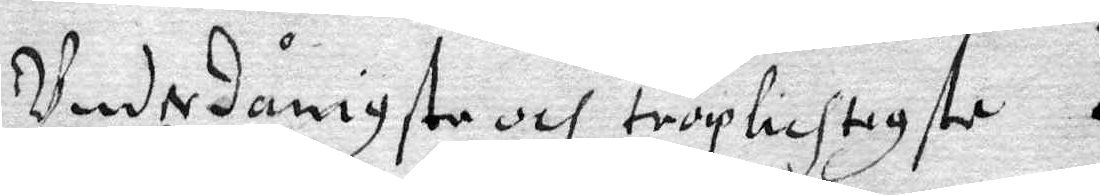Underdånigste och troplichtigste
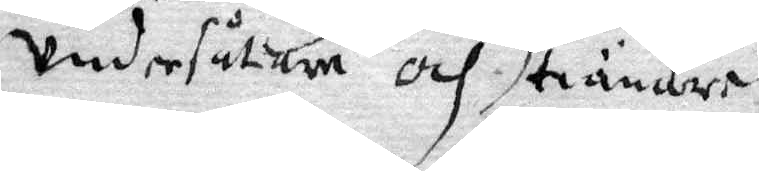Undersåtare och tiänare.
